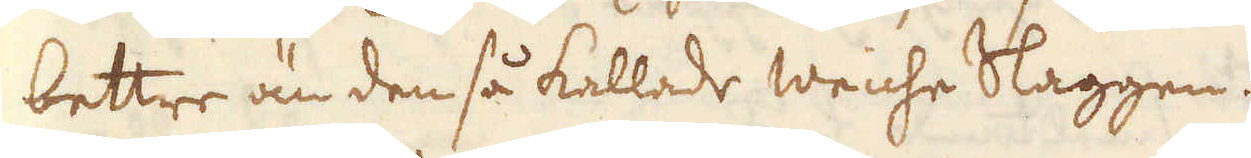bettre än den så kallade weiche Slaggen.
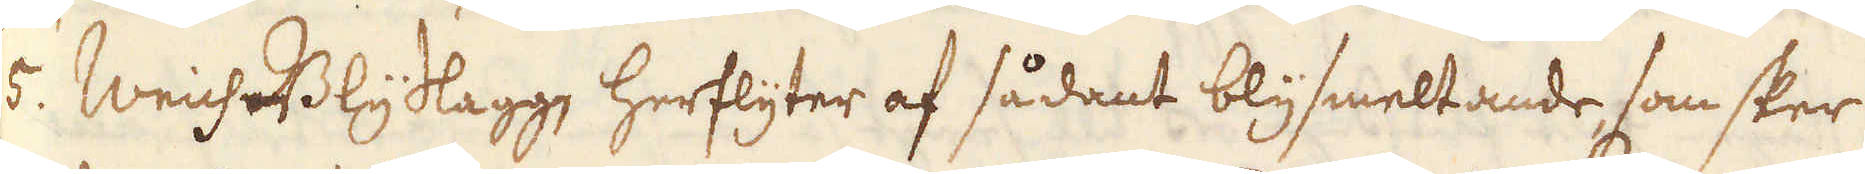5. Weich-Blyslagg, herflyter af sådant blysmeltande, som sker
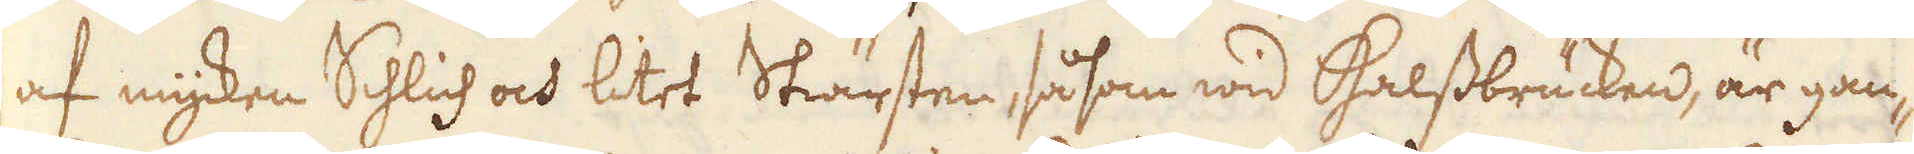af mycken Schlich och litet Skärsten, såsom wid Halssbrücken, är gan-
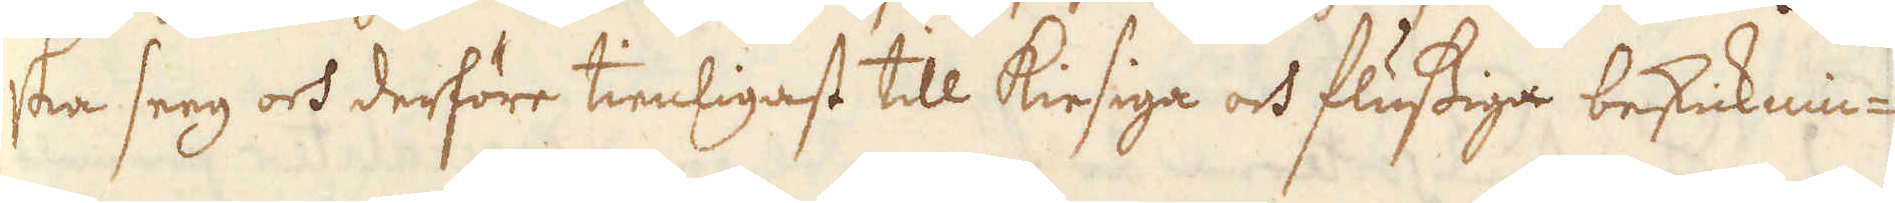ska seeg och derföre tienligast till kiesiga och flussiga beskicknin-
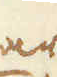gar.
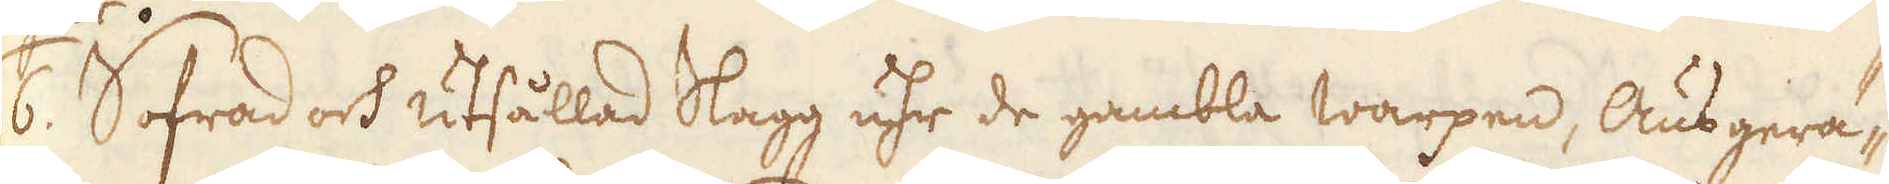6. Sofrad och utsållad Slagg uhr de gambla warpen, Ausgerä-
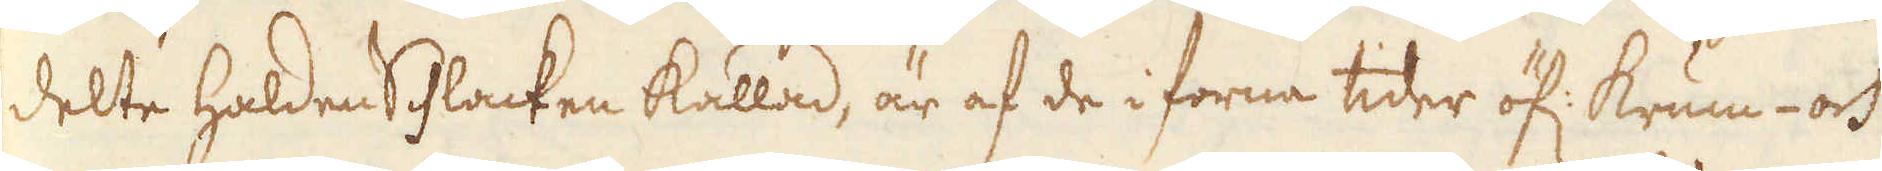delte haldenschlacken kallad, är af de i forna tider öf: krum- och
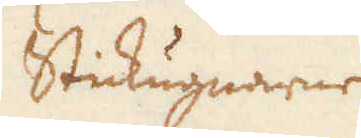Stickugnarne
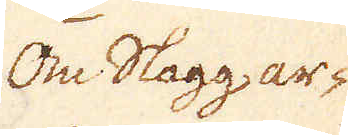Om Slagg ar-
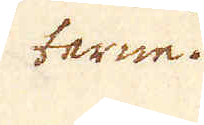terne.
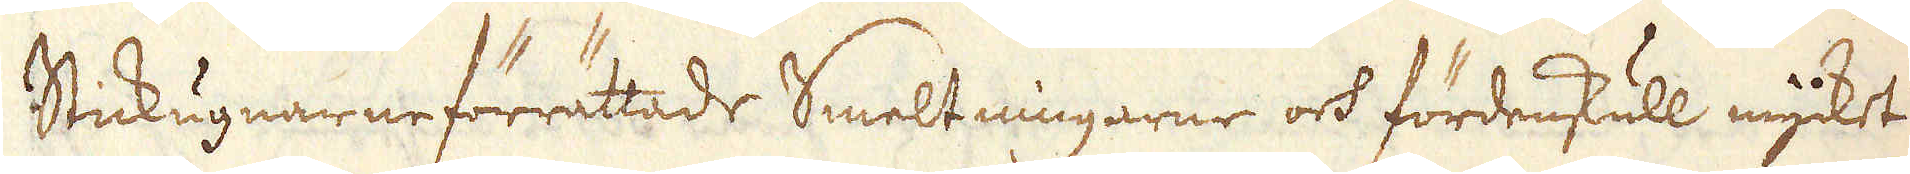Stickugnarne förrättade Smeltningarne och fördenskull mycket
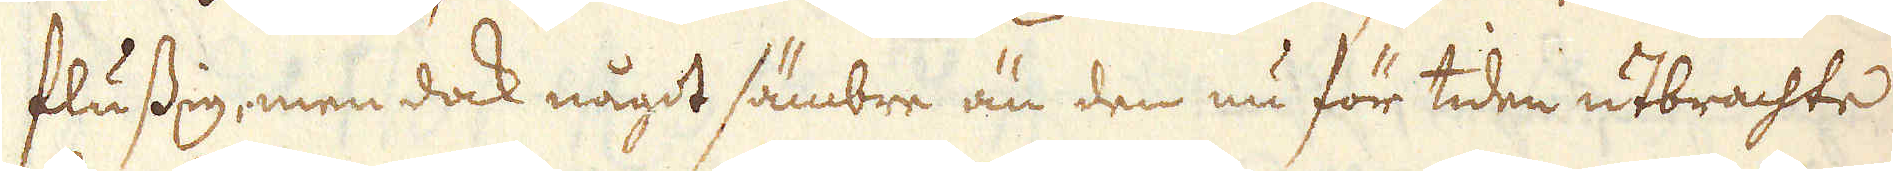flussig, men dock något sämbre än den nu för tiden utbrachte
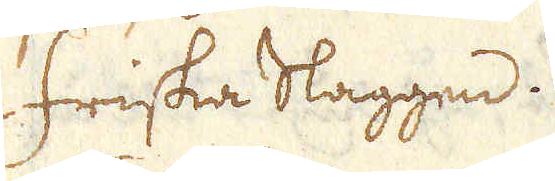Friska Slaggen.
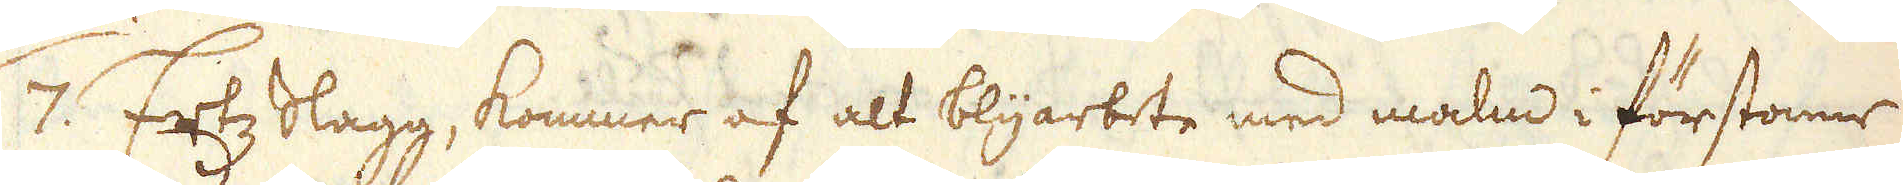/7. Ertz Slagg, kommer af alt blyarbete med malm i förstonne
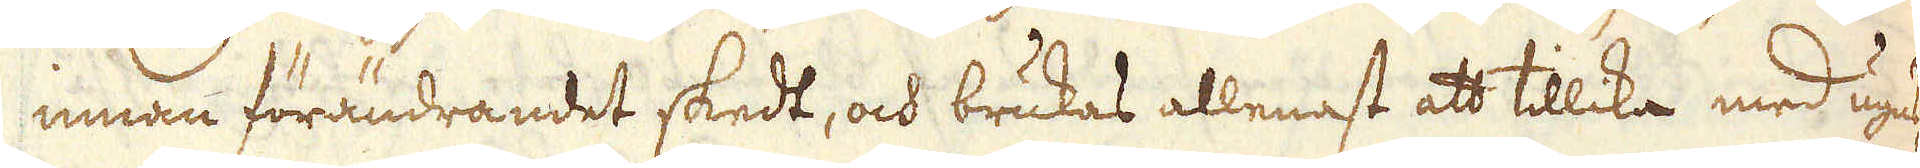innan förändrandet skedt, och brukas allenast att tillika med ugns-
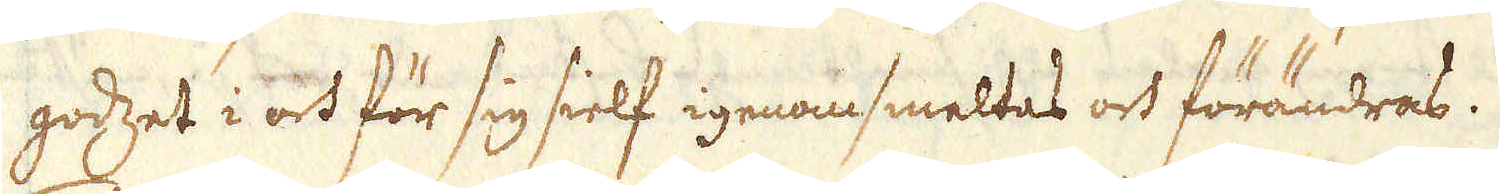godzet i och för sig sielf igenomsmeltas och förändras.
